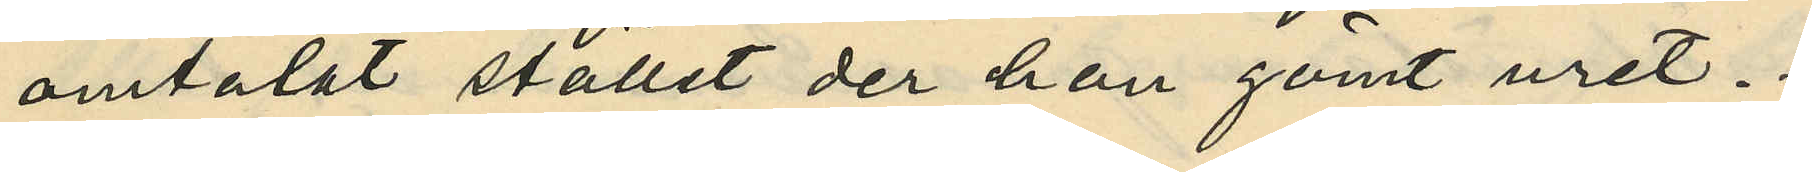omtalat stället der han gömt uret.
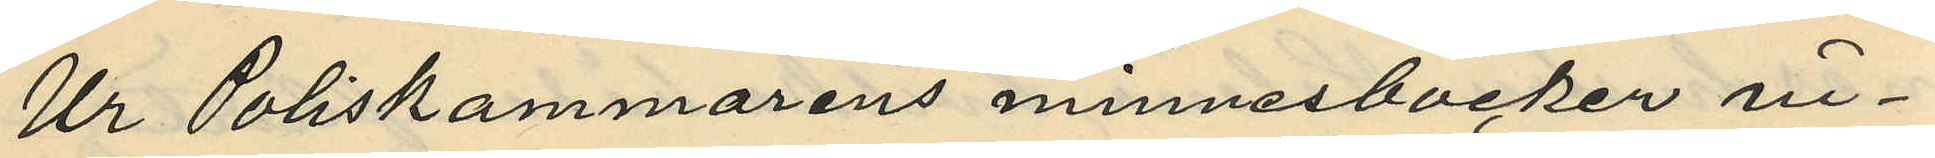Ur Poliskammarens minnesböcker in¬
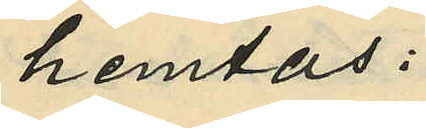hemtas:
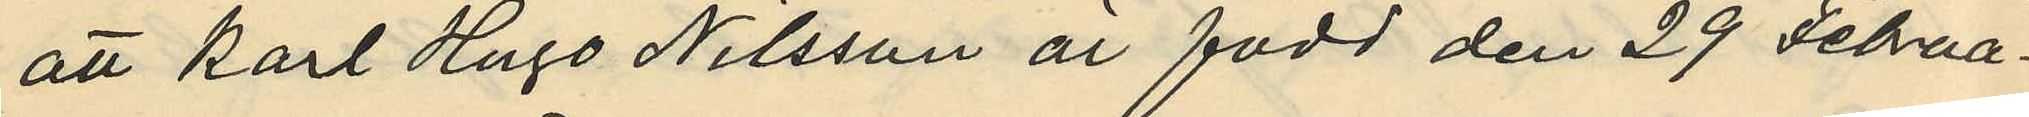att Karl Hugo Nilsson är född den 29 Februa¬
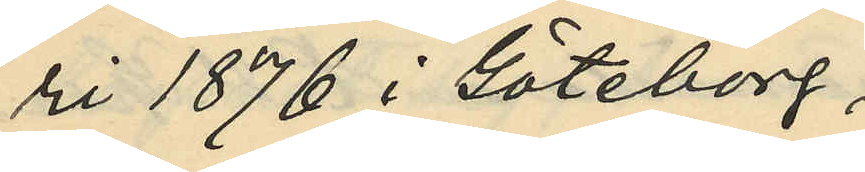ri 1876 i Göteborg;
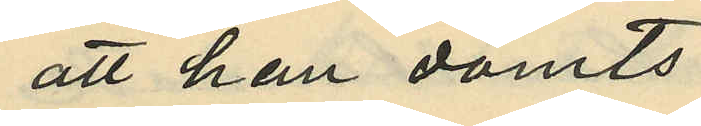att han dömts:
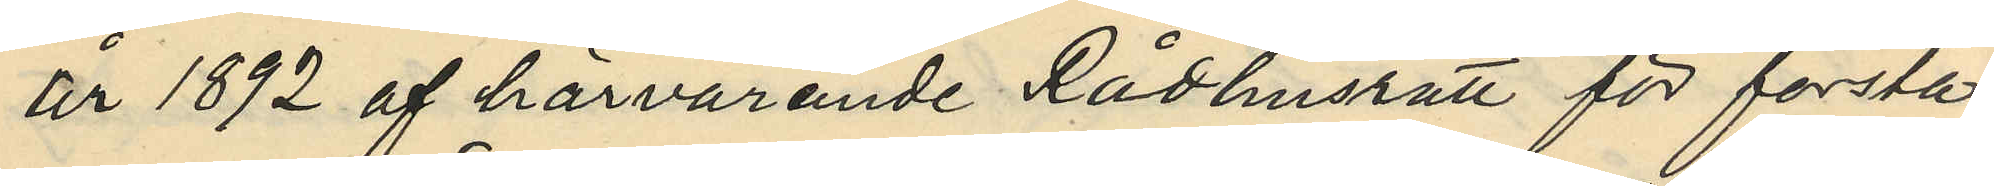år 1892 af härvarande Rådhusrätt för första
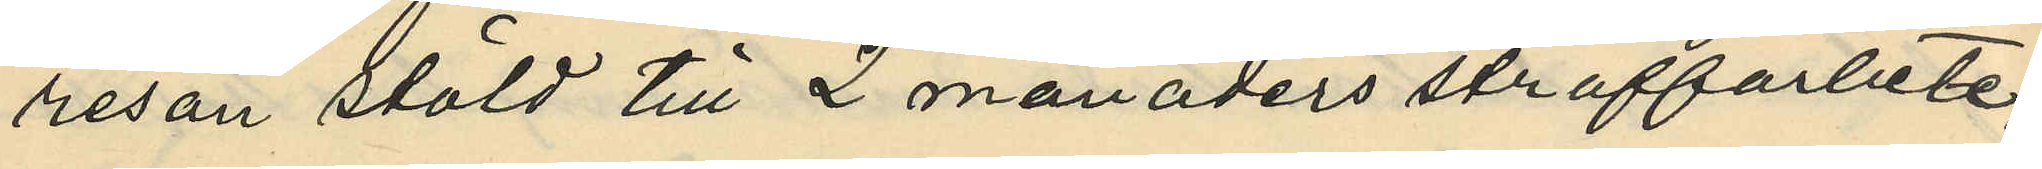resan stöld till 2 månaders straffarbete;
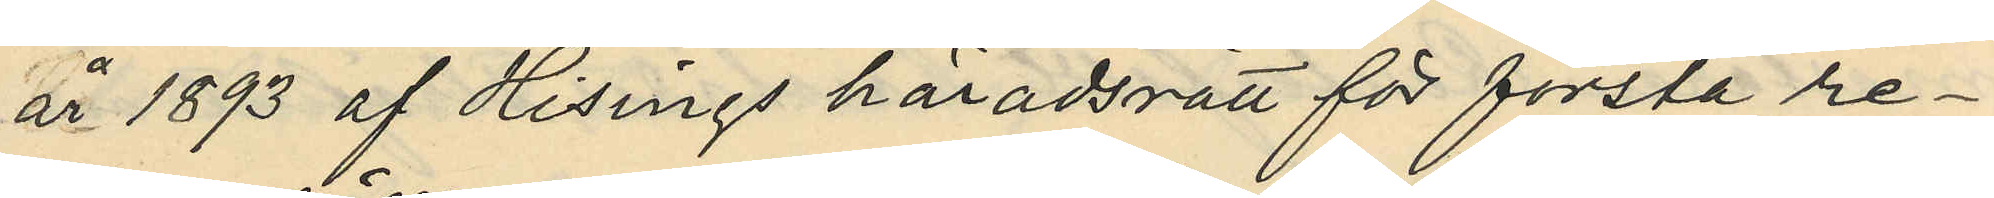år 1893 af Hisings häradsrätt för första re¬
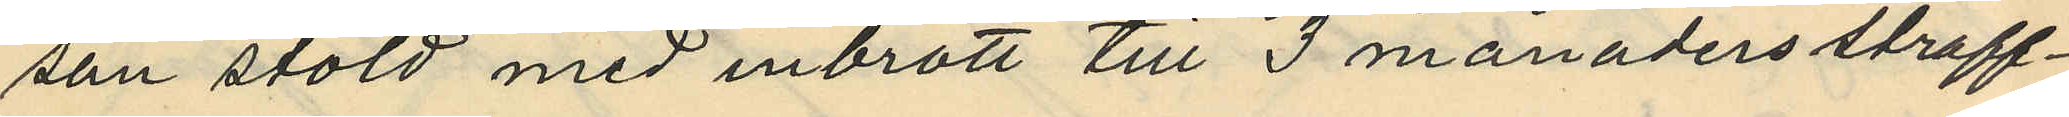san stöld med inbrott till 3 månaders straff¬
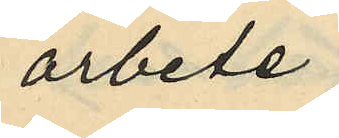arbete;
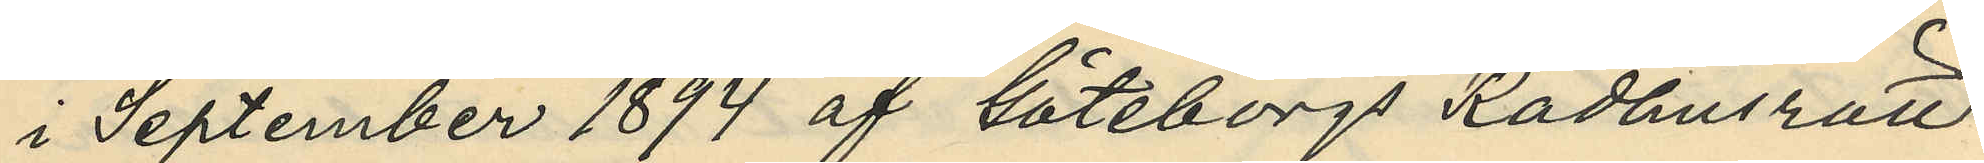i September 1894 af Göteborgs Rådhusrätt
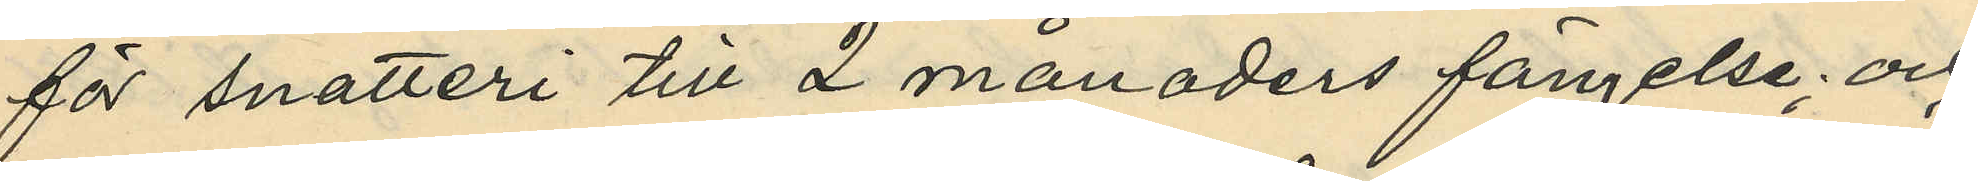för snatteri till 2 månaders fängelse; och
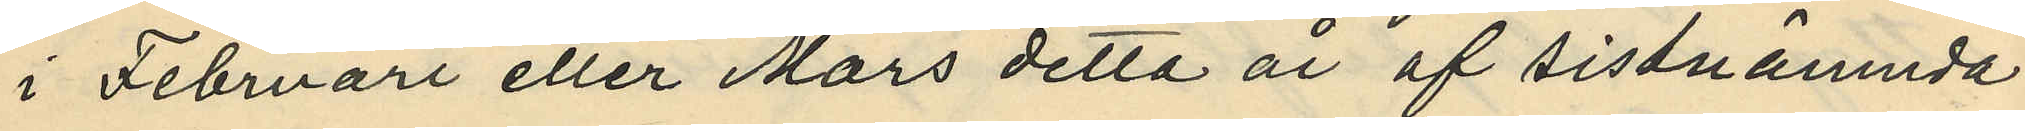i Februari eller Mars detta år af sistnämnda
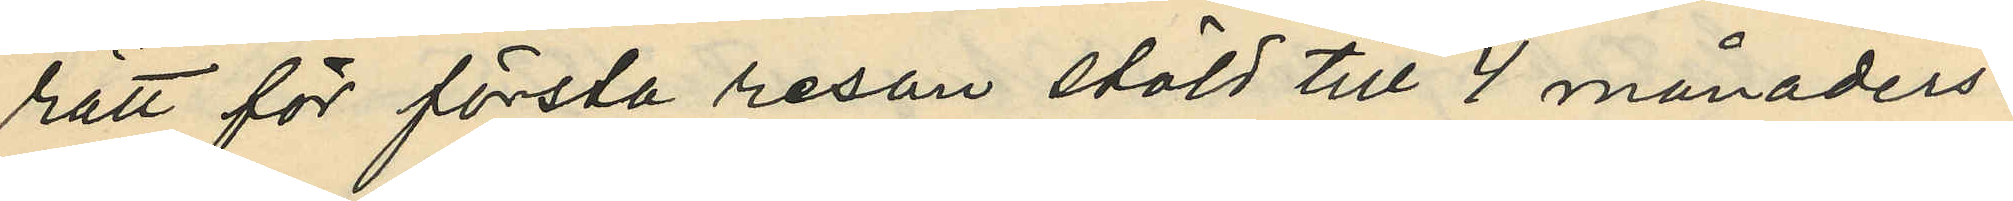rätt för första resan stöld till 4 månaders
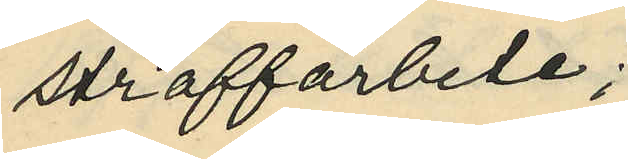straffarbete;
